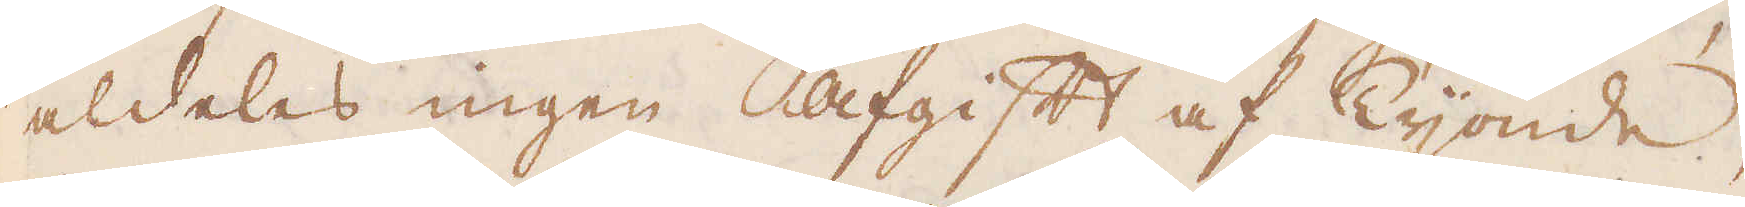aldeles ingen afgift af Tijonde,
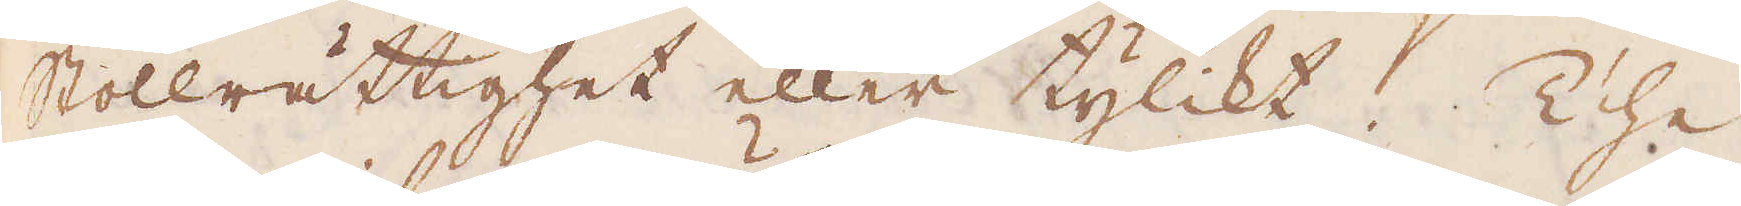Stollrättighet eller tylikt. The
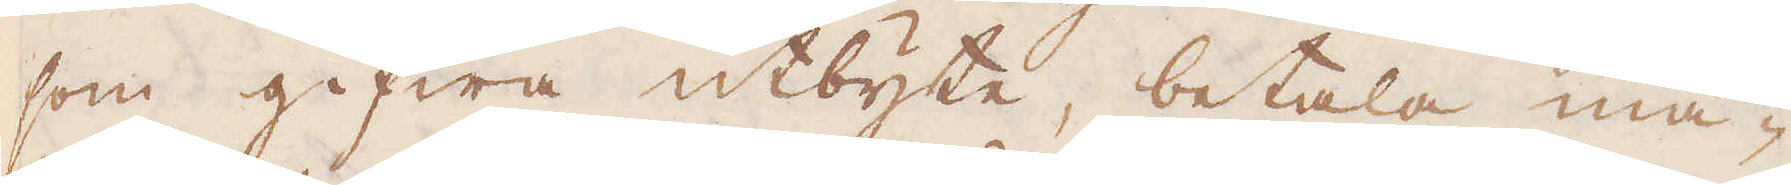som gifwa utbyte, betala mä-
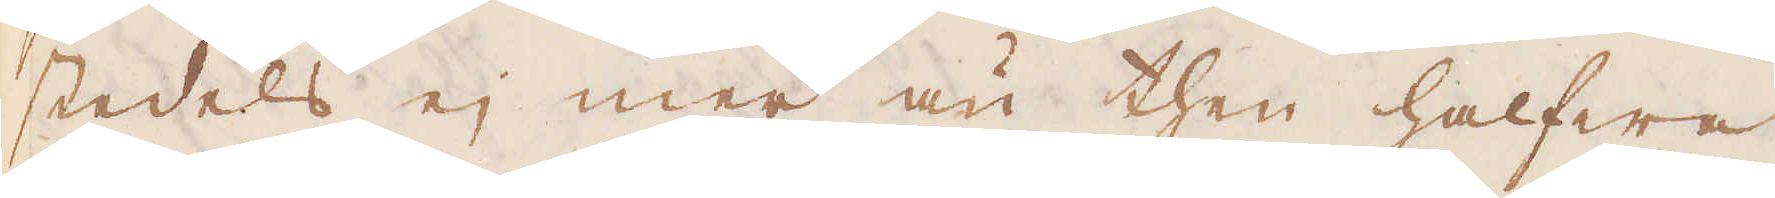stedels ej mer än then halfwa
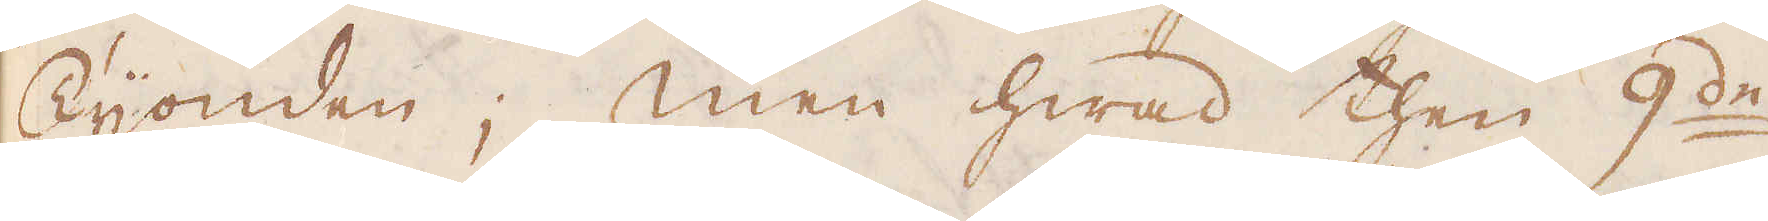Tijonden; men hwad then 9:de
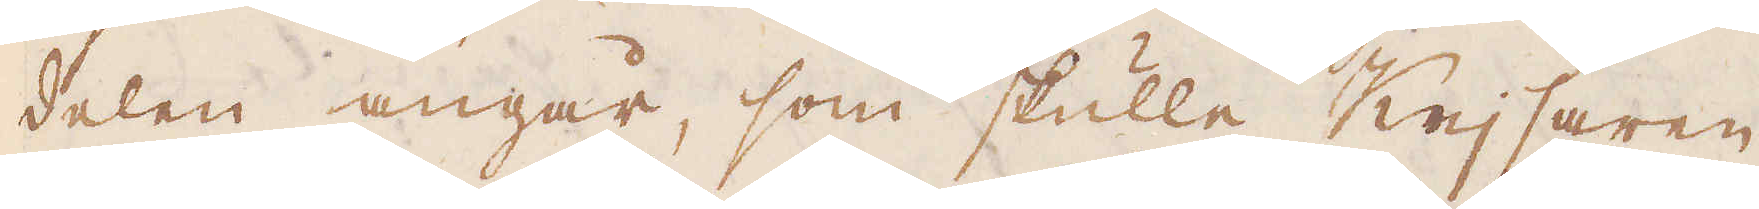delen angår, som skulle Kejsaren
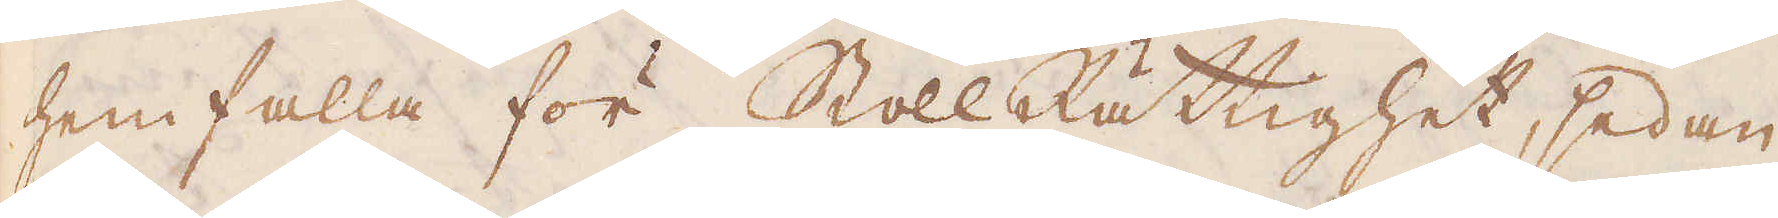hemfalla för Stoll Rättighet, sedan
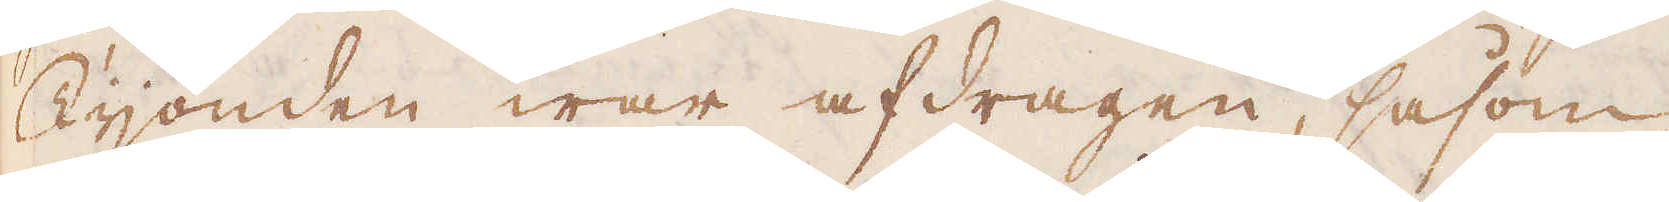Tijonden war afdragen, såsom
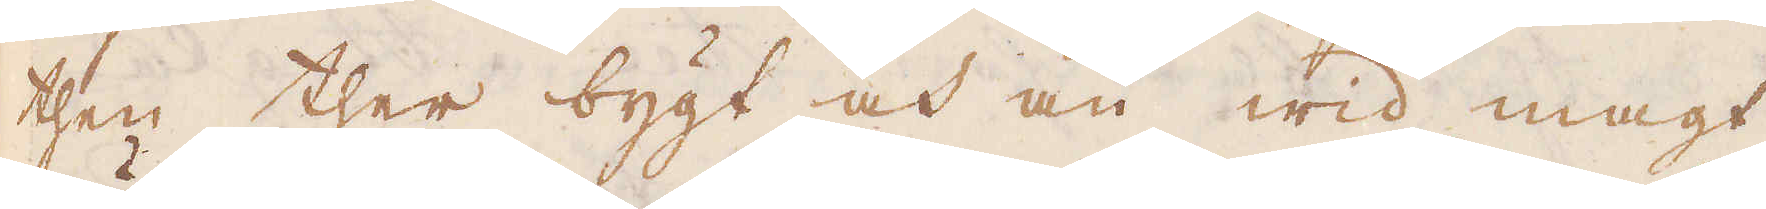then ther bygt och än wid magt
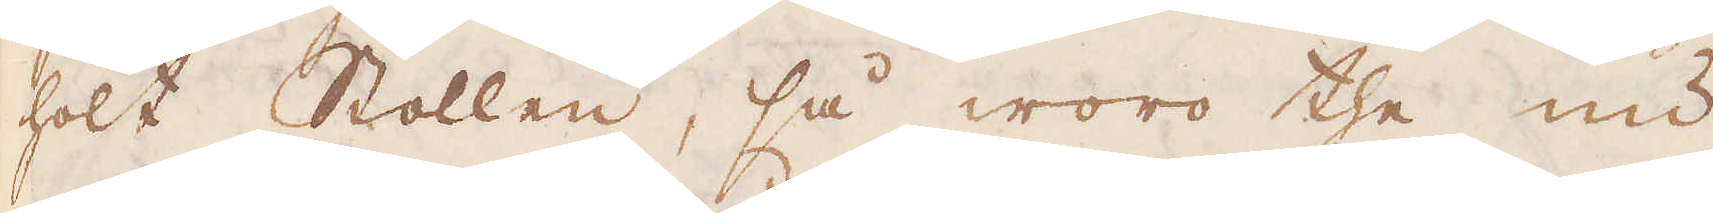hölt Stollen, så woro the nu
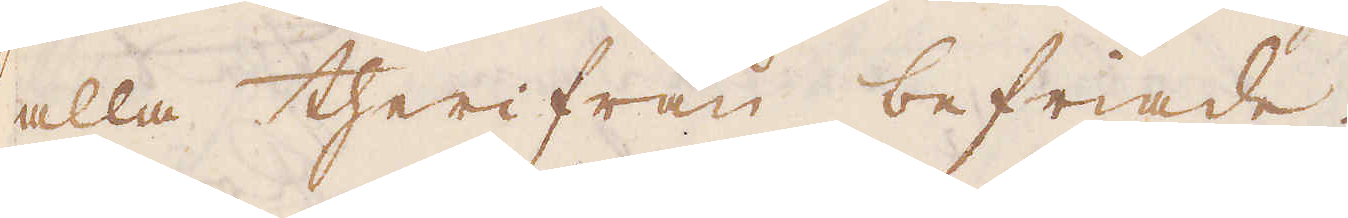alla therifrån befriade.
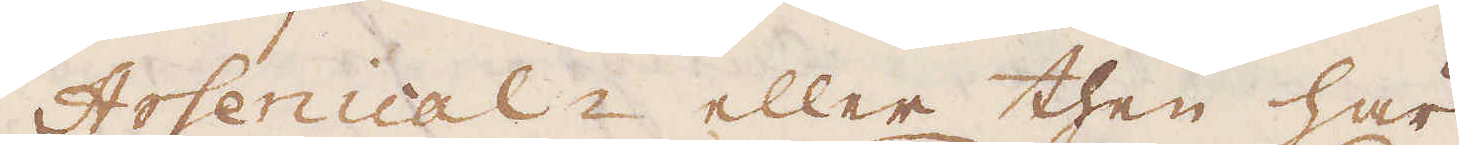Arsenical- eller then här
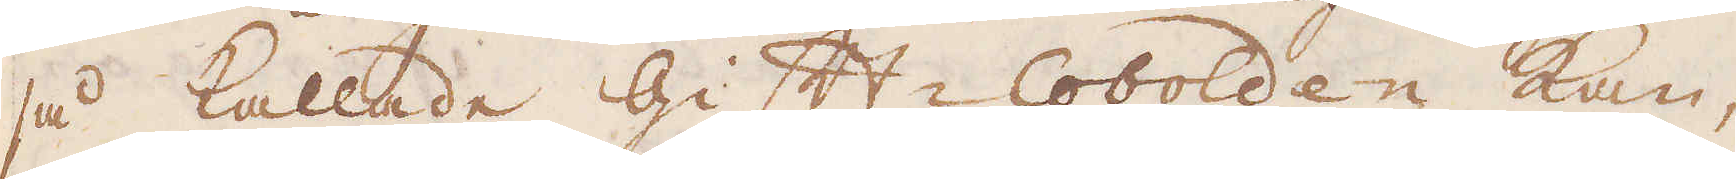så kallade Gift-Cobolden kan,
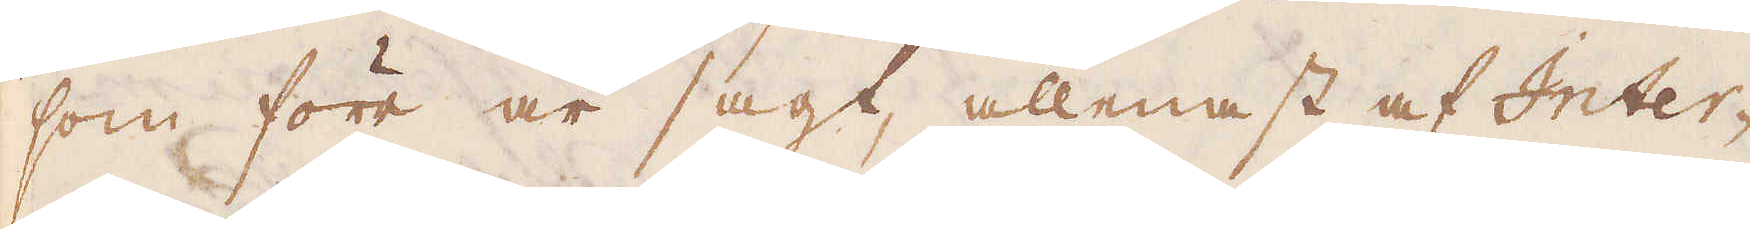som förr är sagt, allenast af Inter-
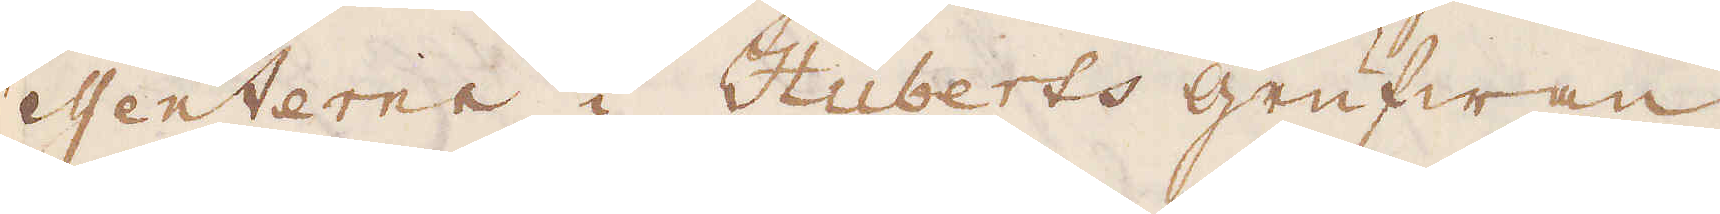essenterne i Huberts grufwan
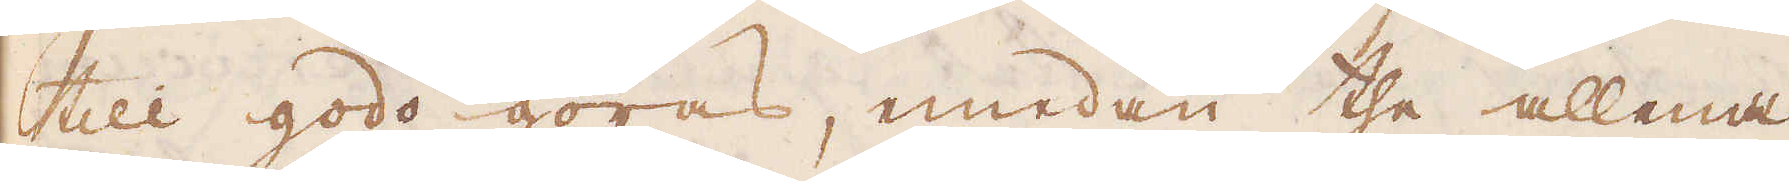till godo göras, emedan the allena
